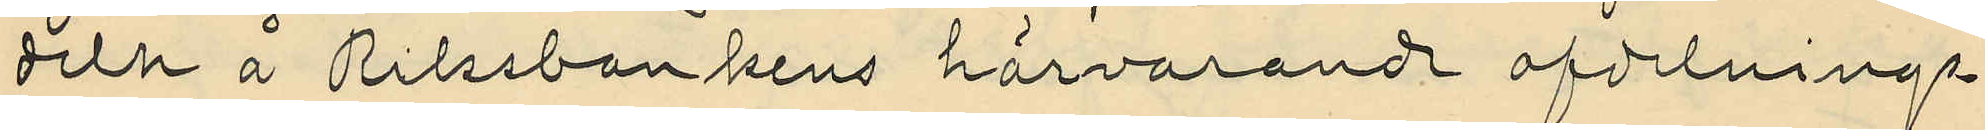deln å Riksbankens härvarande afdelnings¬
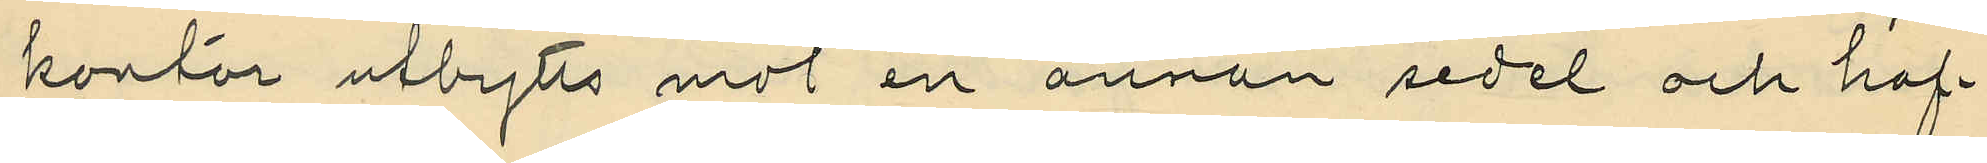kontor utbytts mot en annan sedel och haf¬
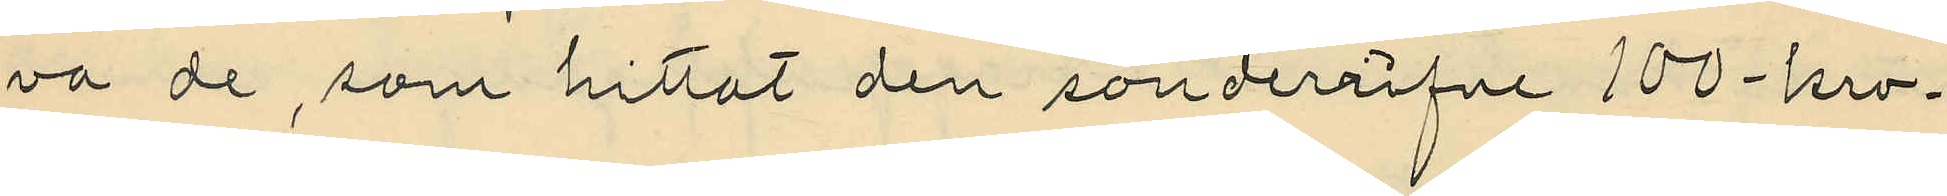va de, som hittat den sönderrifne 100-kro¬
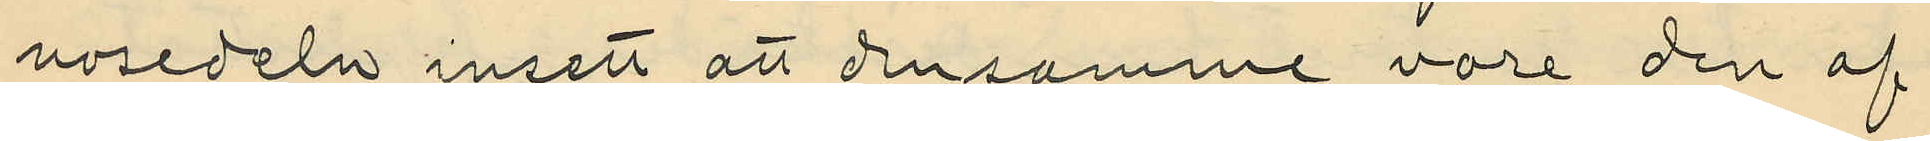nosedeln insett att densamme vore den af
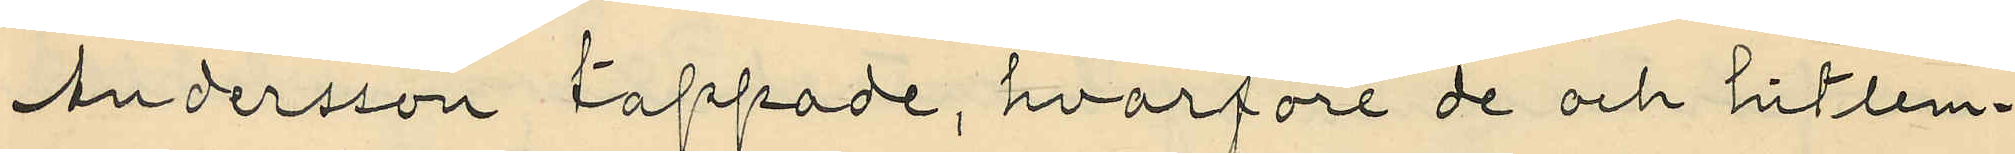Andersson tappade, hvarföre de och hitlem¬
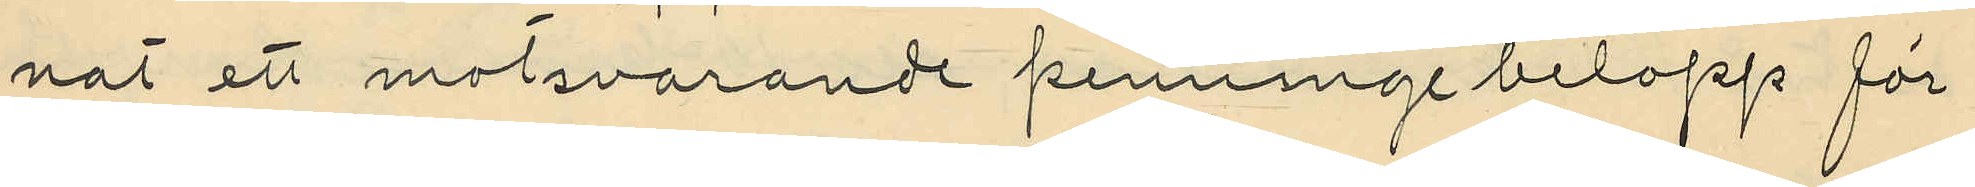nat ett motsvarande penningebelopp för
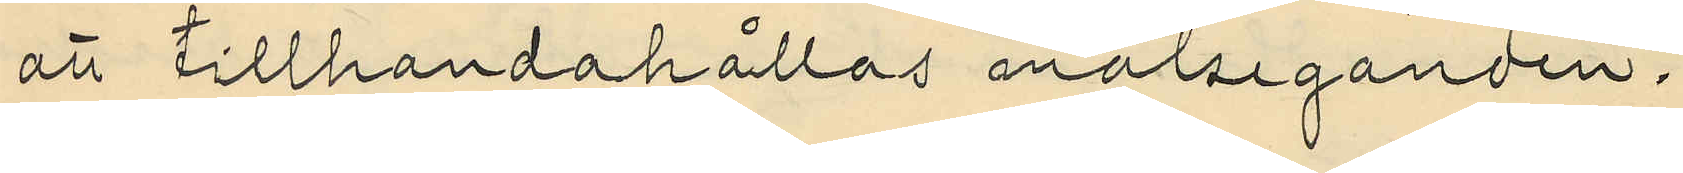att tillhandahållas målseganden.
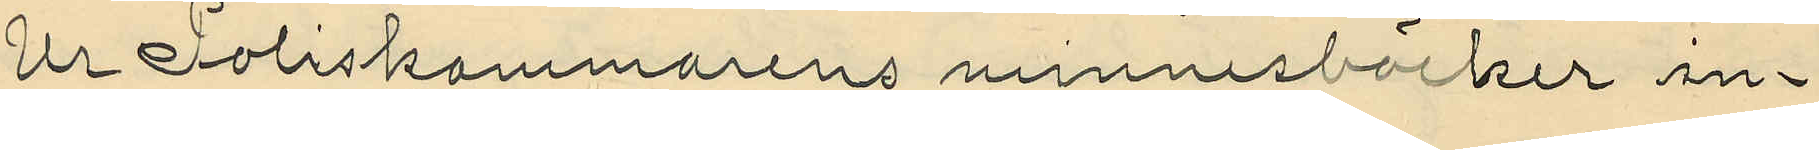Ur Poliskammarens minnesböcker in¬
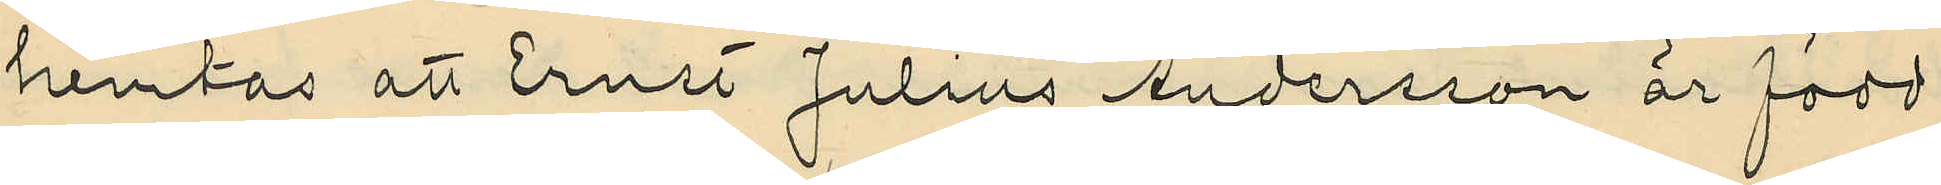hemtas att Ernst Julius Andersson är född
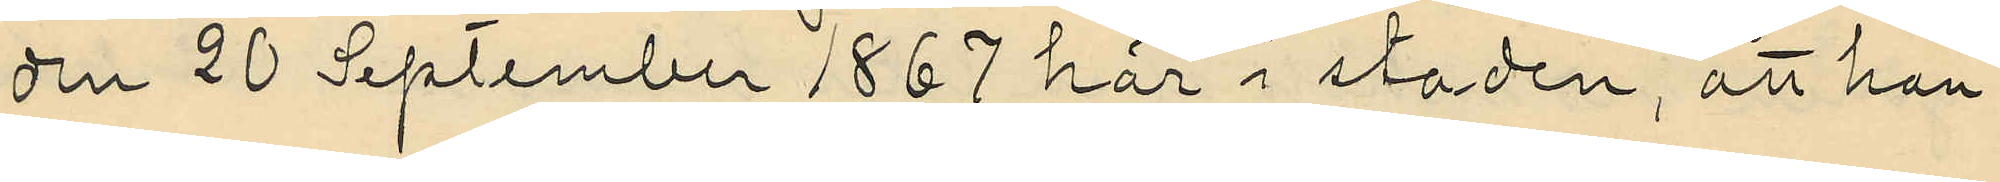den 20 September 1867 här i staden, att han
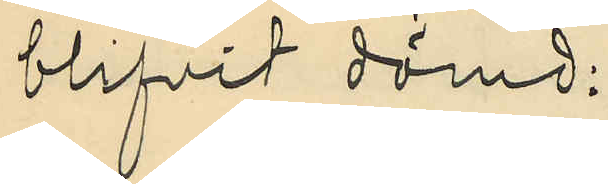blifvit dömd:
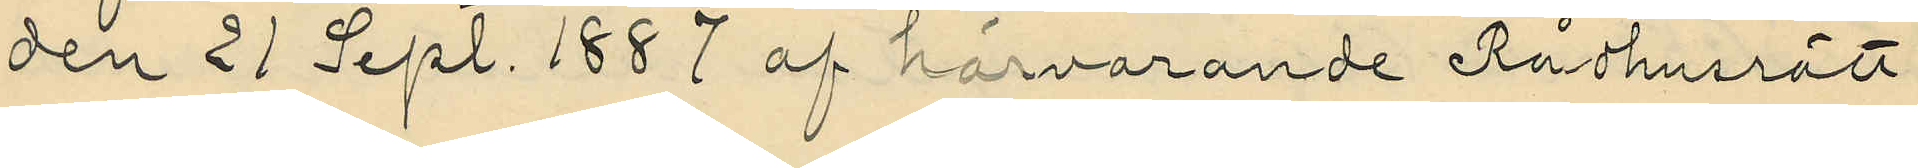den 21 Sept. 1887 af härvarande Rådhusrätt
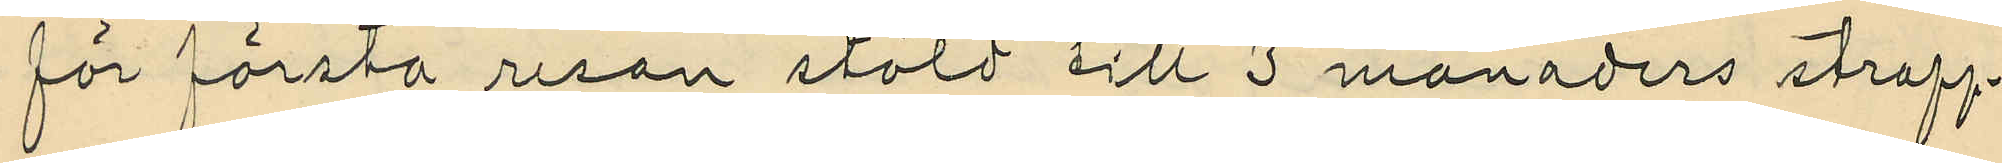för första resan stöld till 3 månaders straff¬
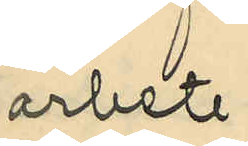arbete;
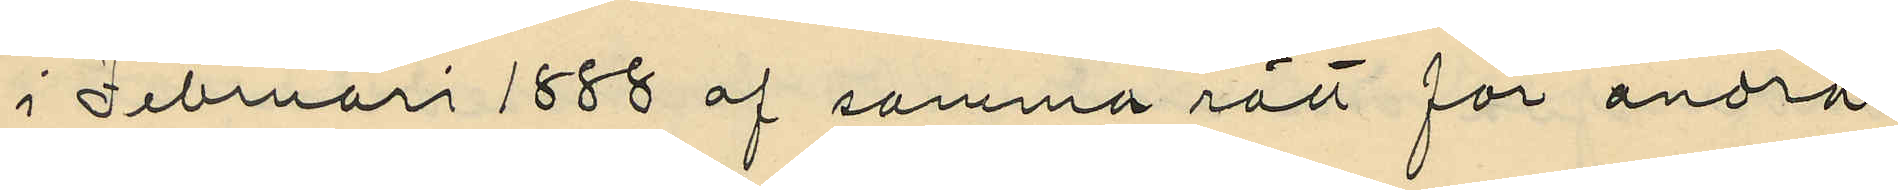i Februari 1888 af samma rätt för andra
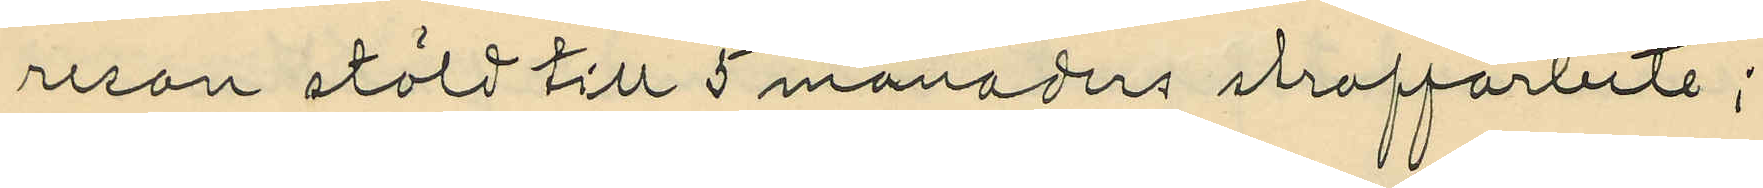resan stöld till 5 månaders straffarbete;
